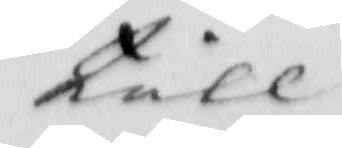till
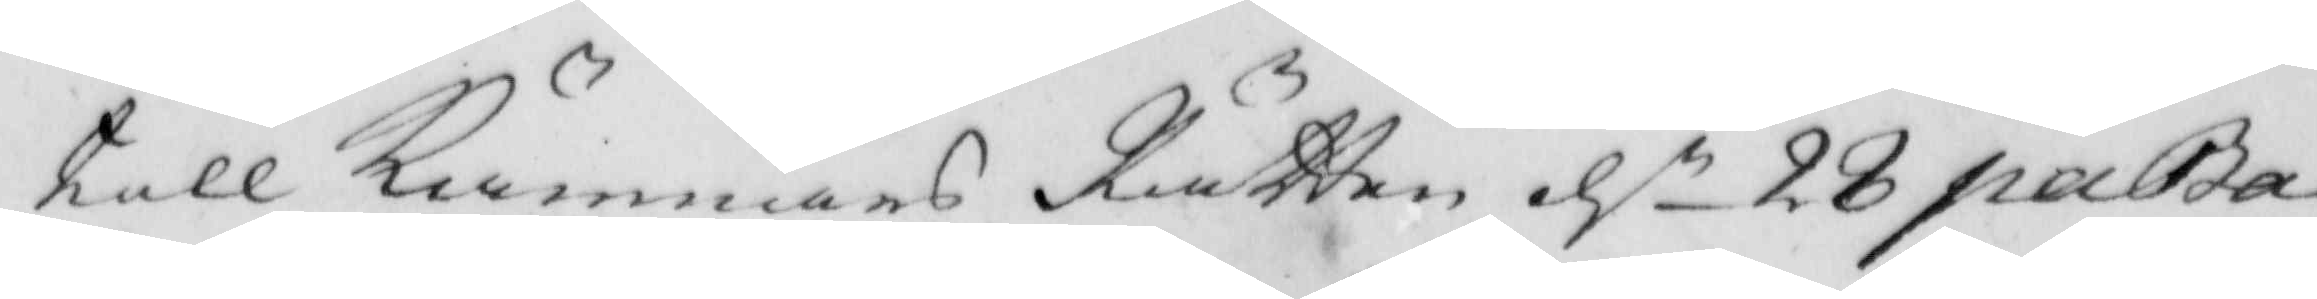till Kämnärs Rätten d. 28 paba¬ 
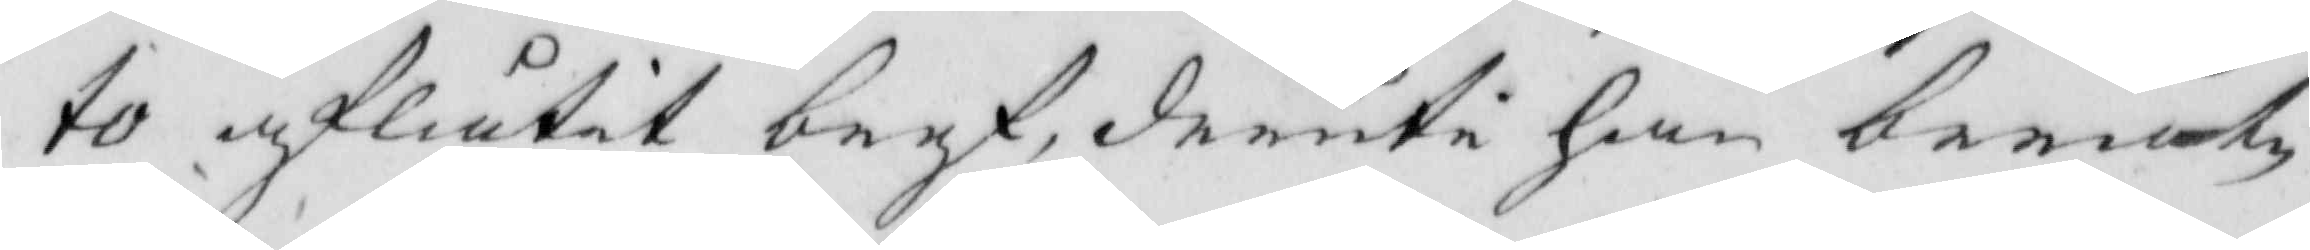to aflåtit bref, deruti han berät¬
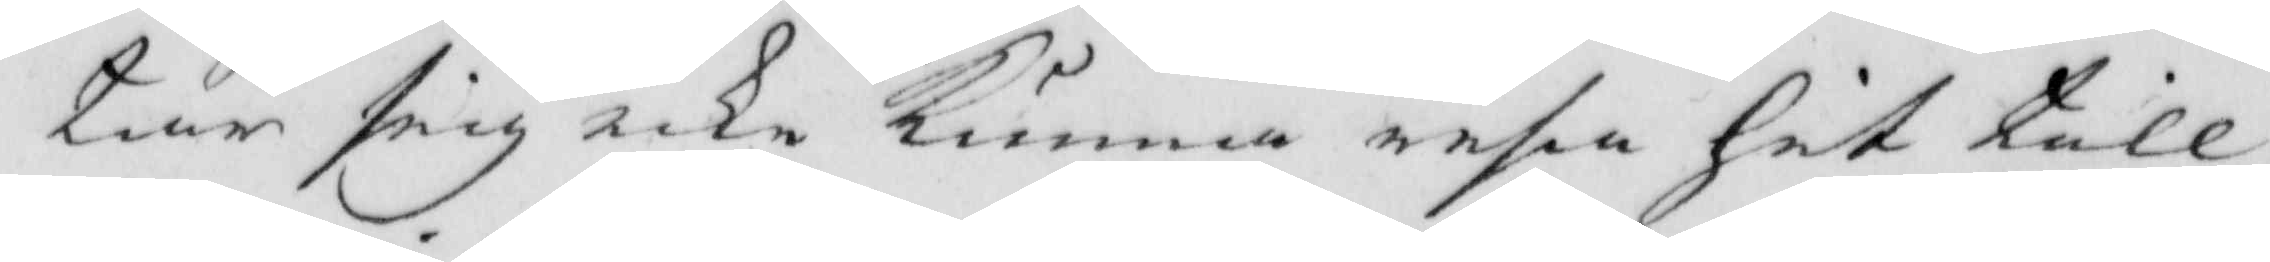tar sig icke kunna resa hit till
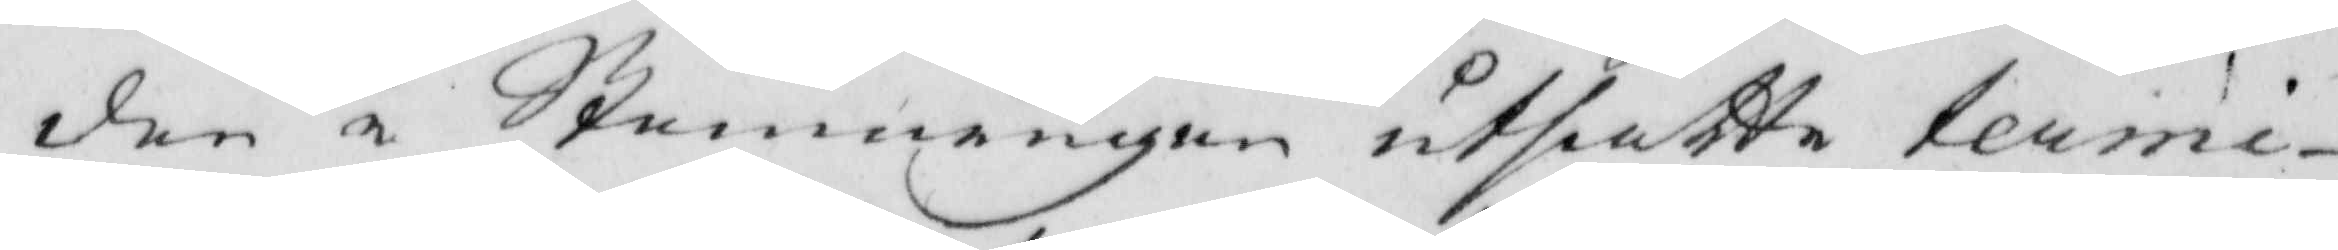den å Stemningen utsatte termi¬
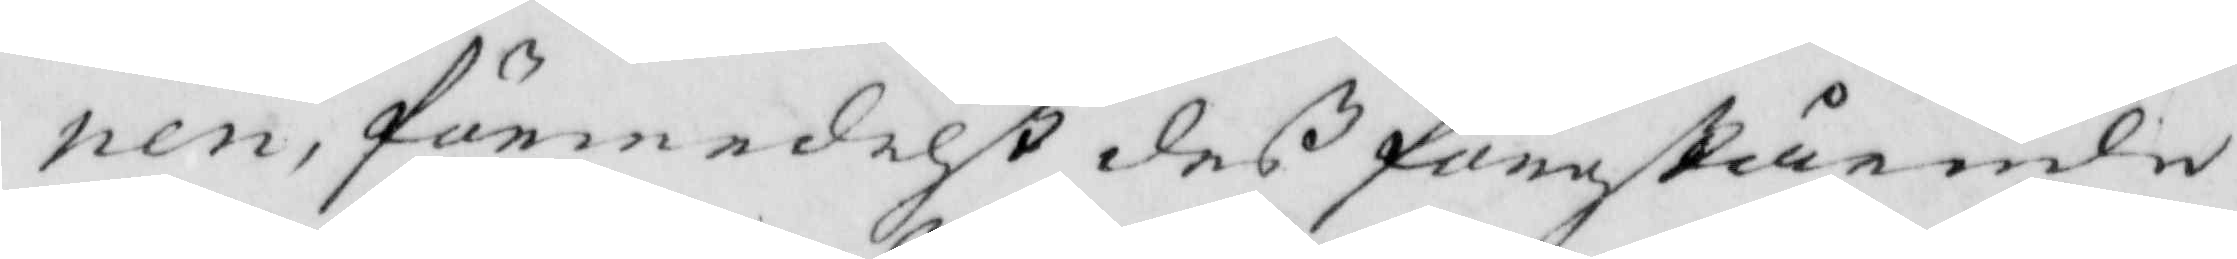nen, förmedelst deß förestående
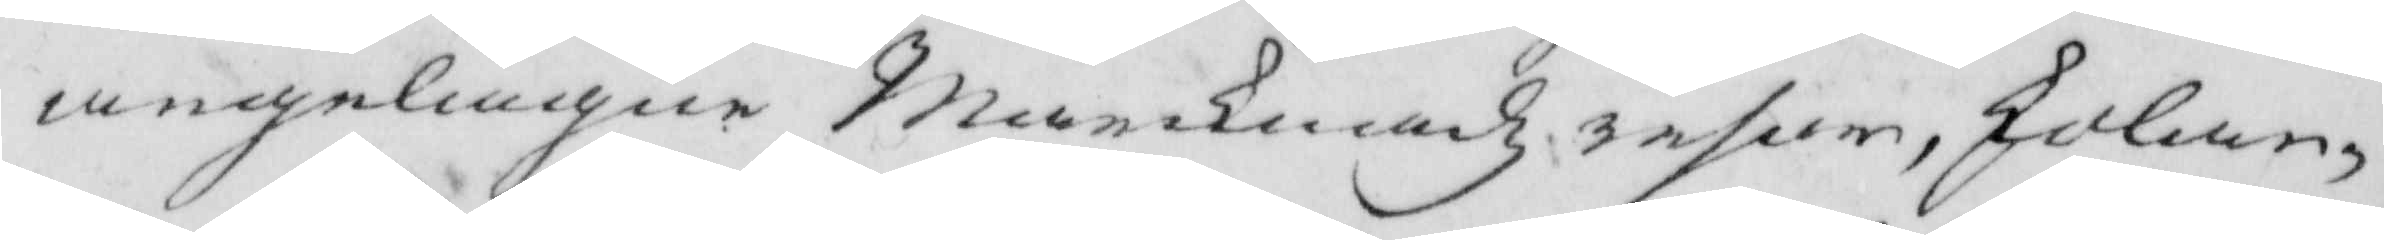angelägne Marcknadz resan, skolan¬
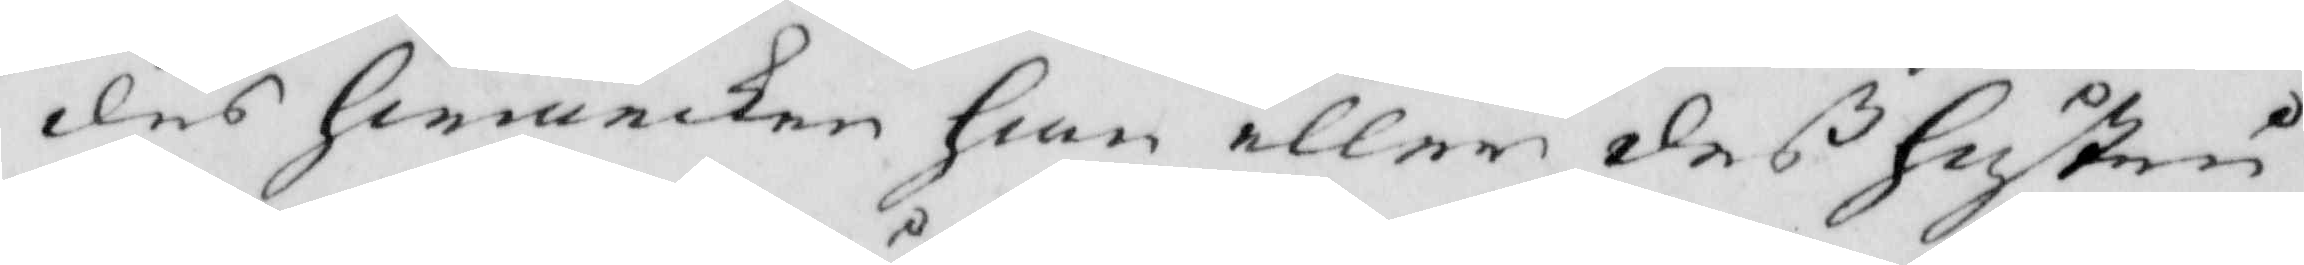des hwarcken han eller deß Hustru
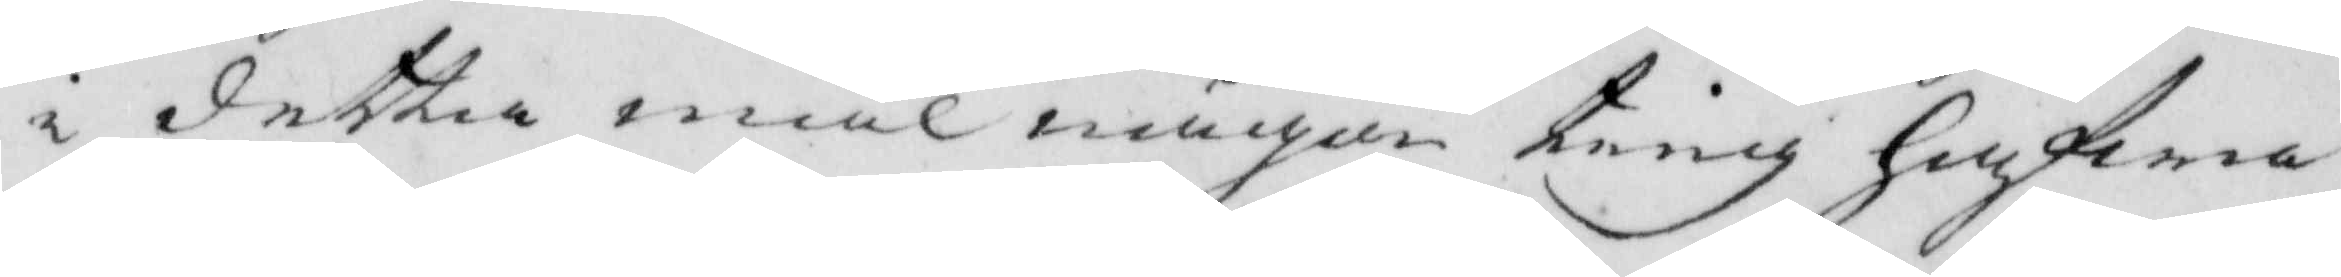i detta mål någon ting hufwa
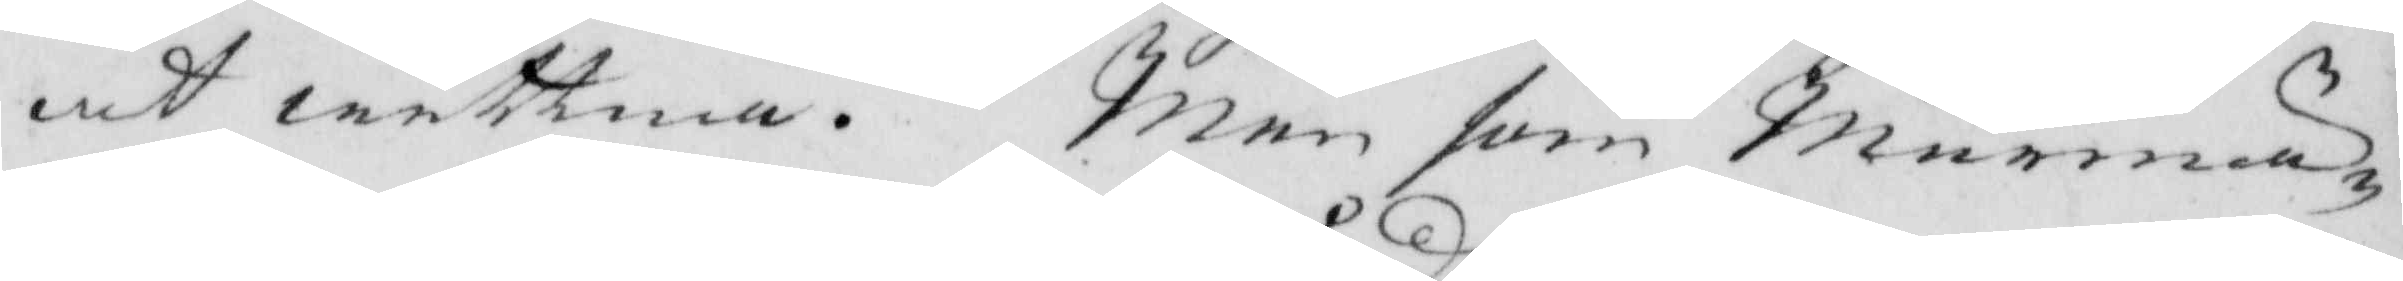at wittna. Men som Murmä¬
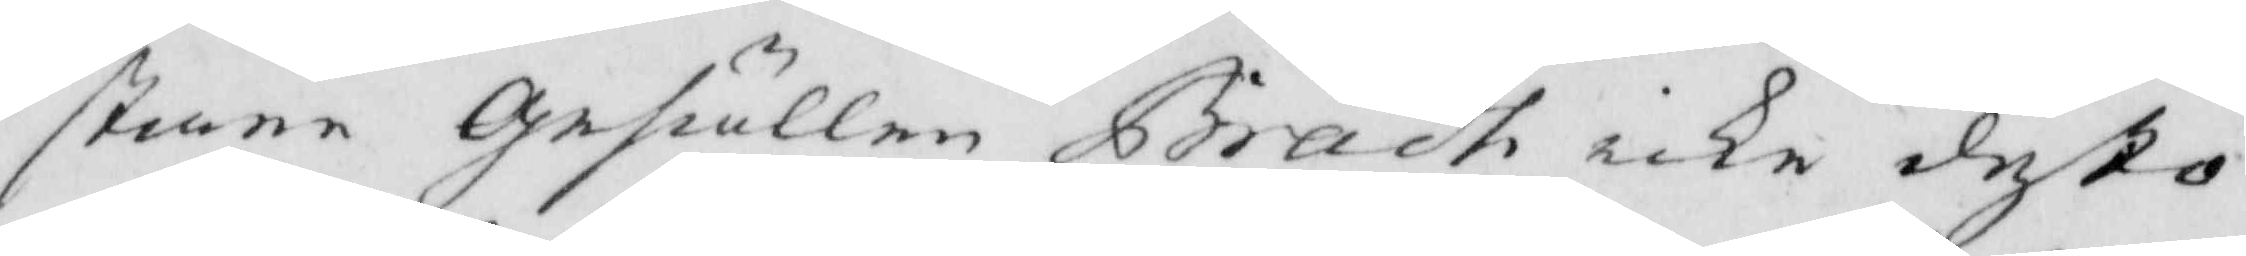stare gesällen Brådh icke desto
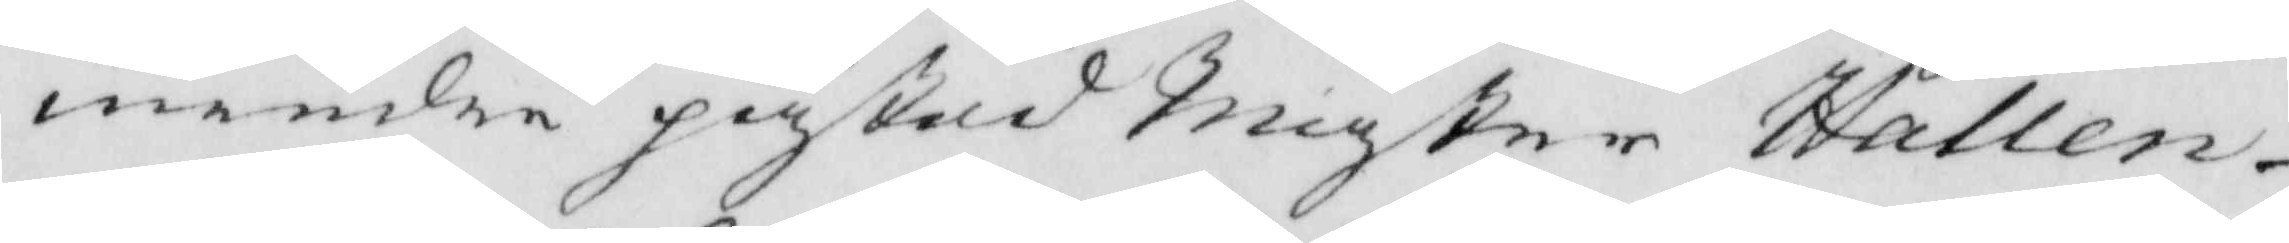mindre påstod Mäster Hallen¬
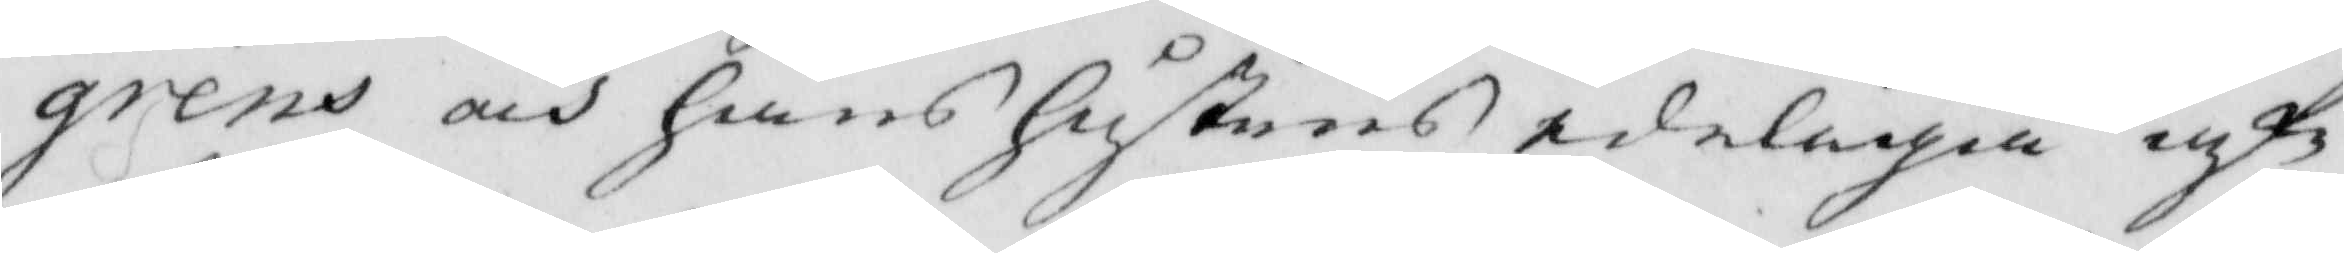grens och hans Hustrus edeliga af¬
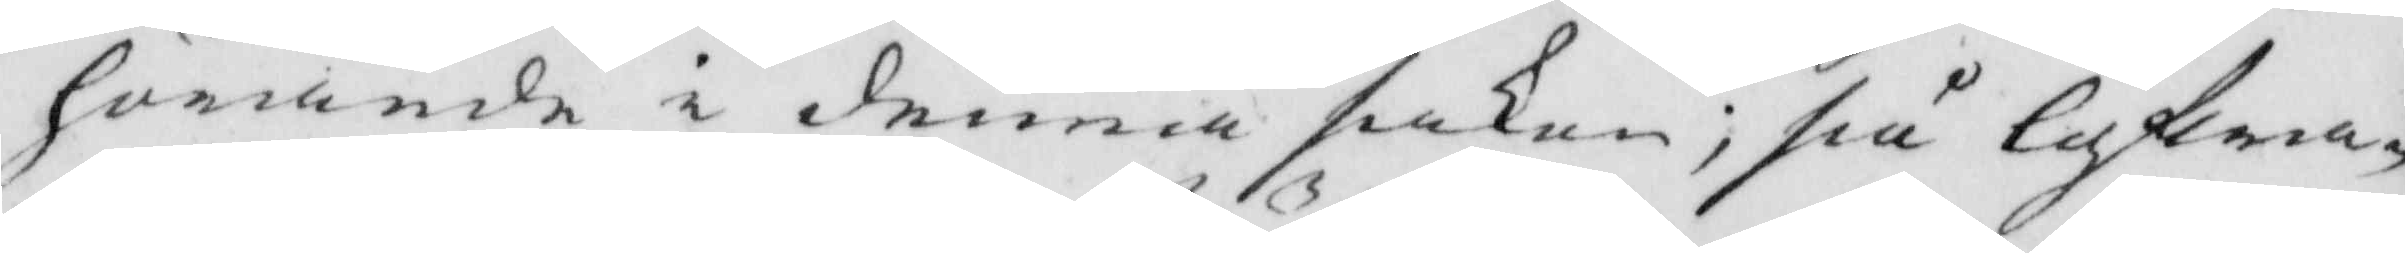hörande i denna saken; så lofwa¬
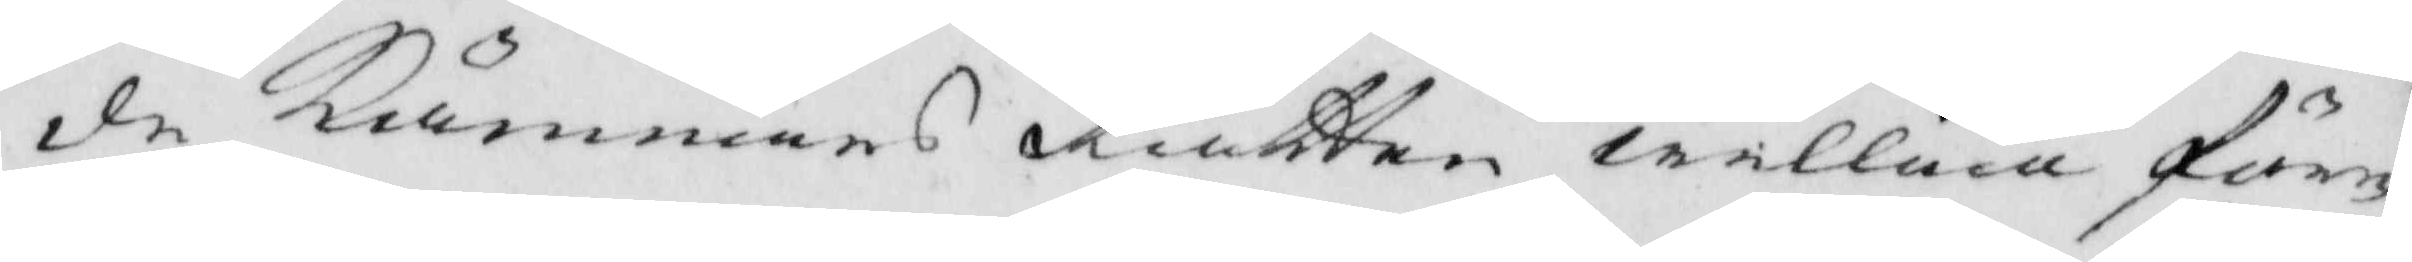de Kämnärs Rätten willia före¬
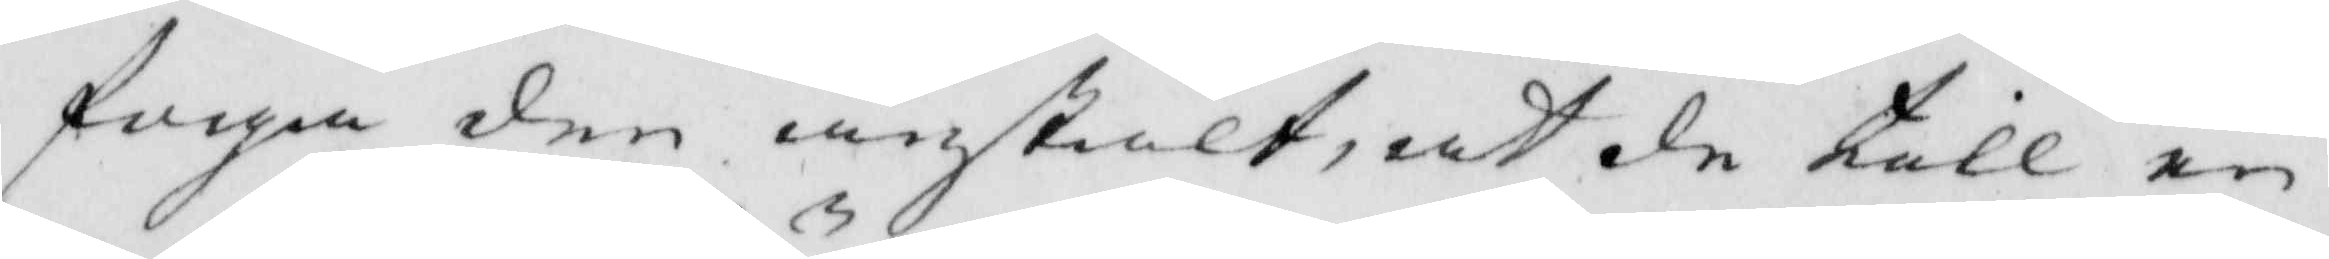foga den anstalt, at de till en
